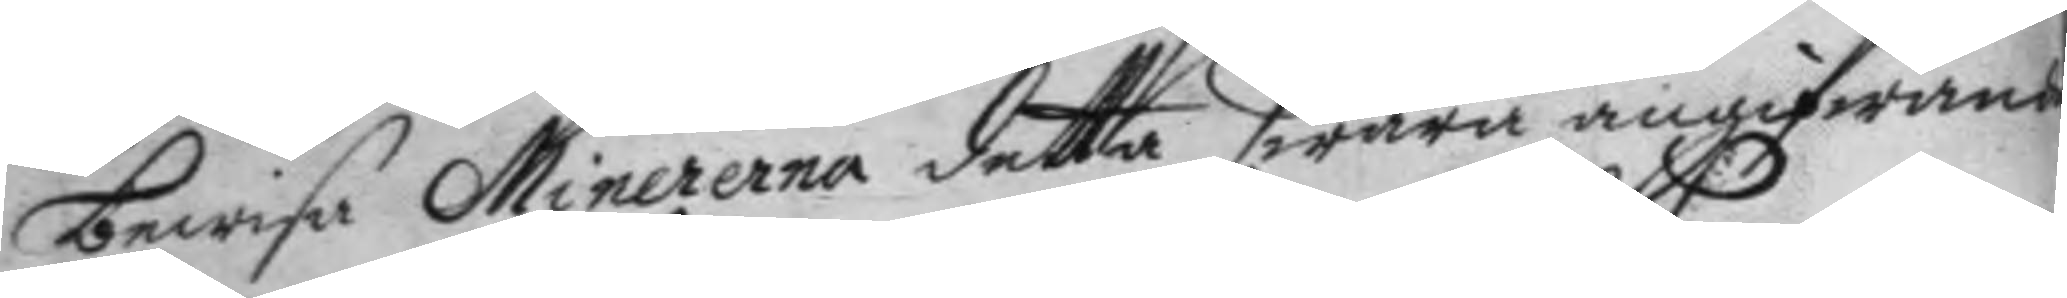bewisa Minererna detta swåra angifwande
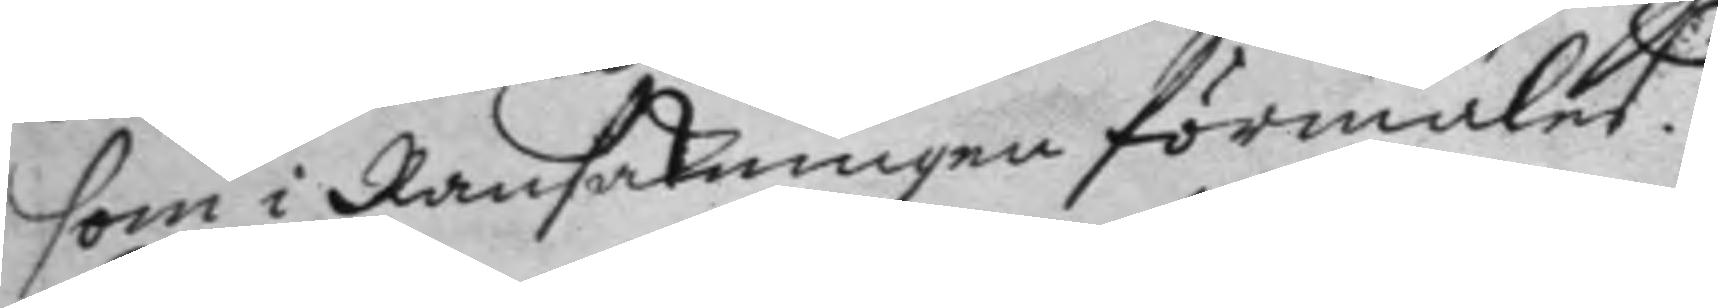som i Ransakningen förmäles.
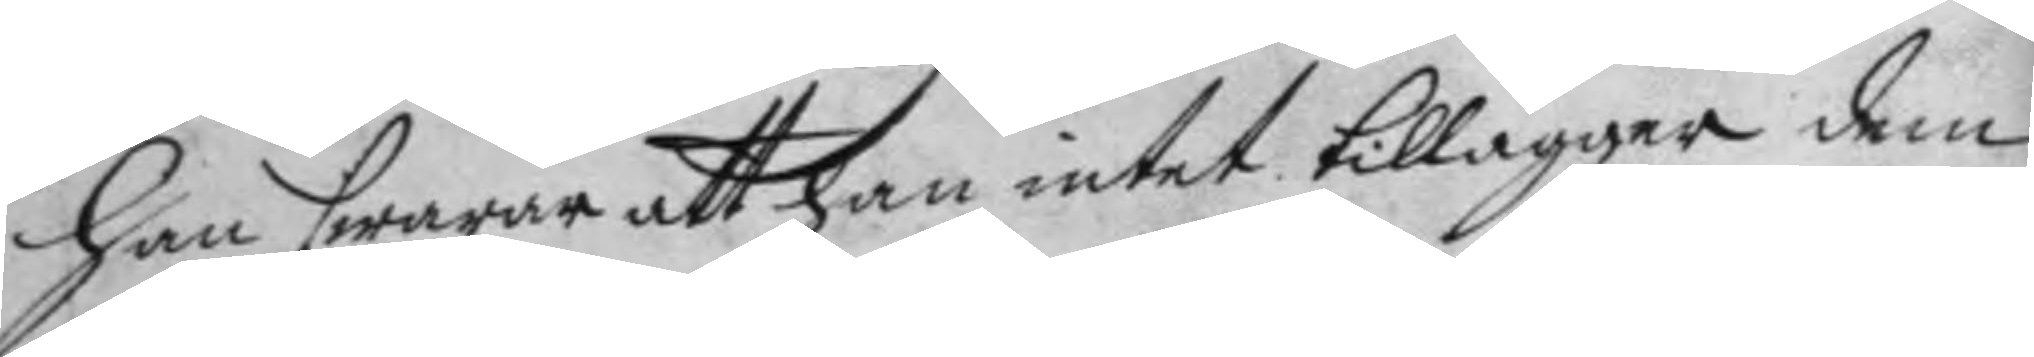Han swarar att han intet tillägger dem
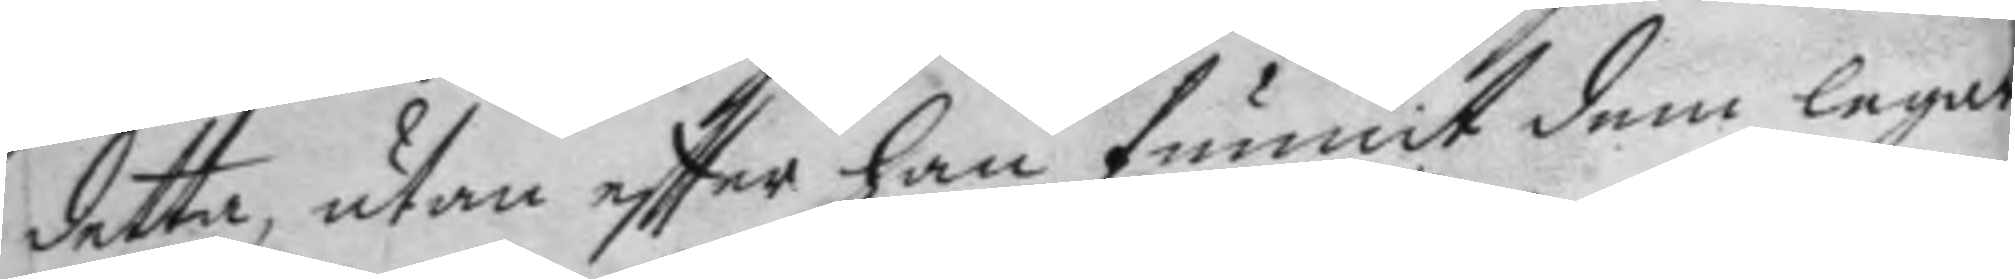detta, utan eftter han funnit dem legat
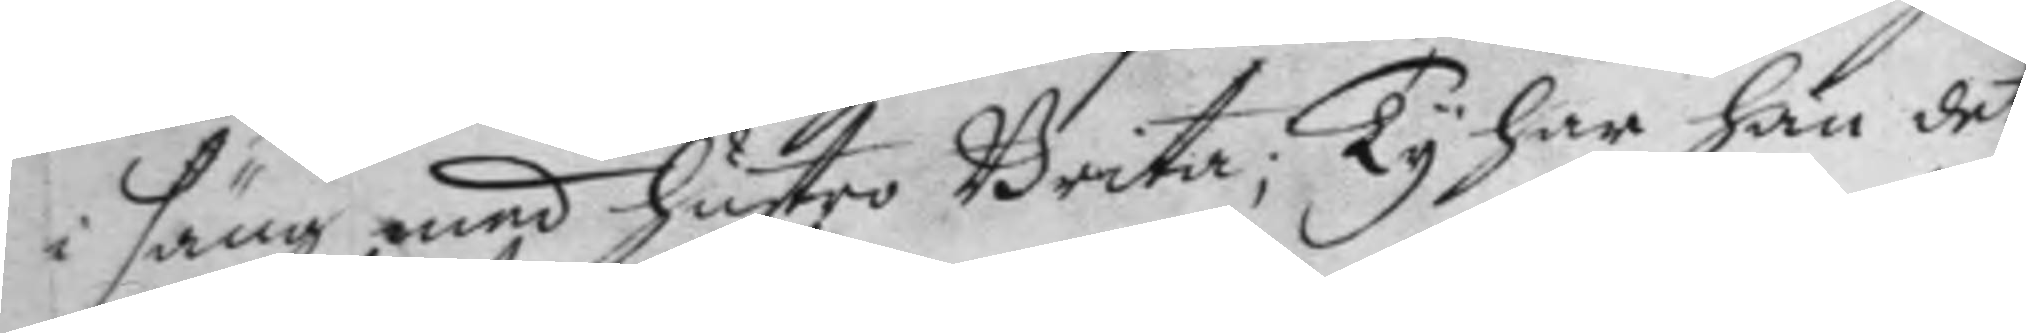i säng med hustro Brita; Ty har han det
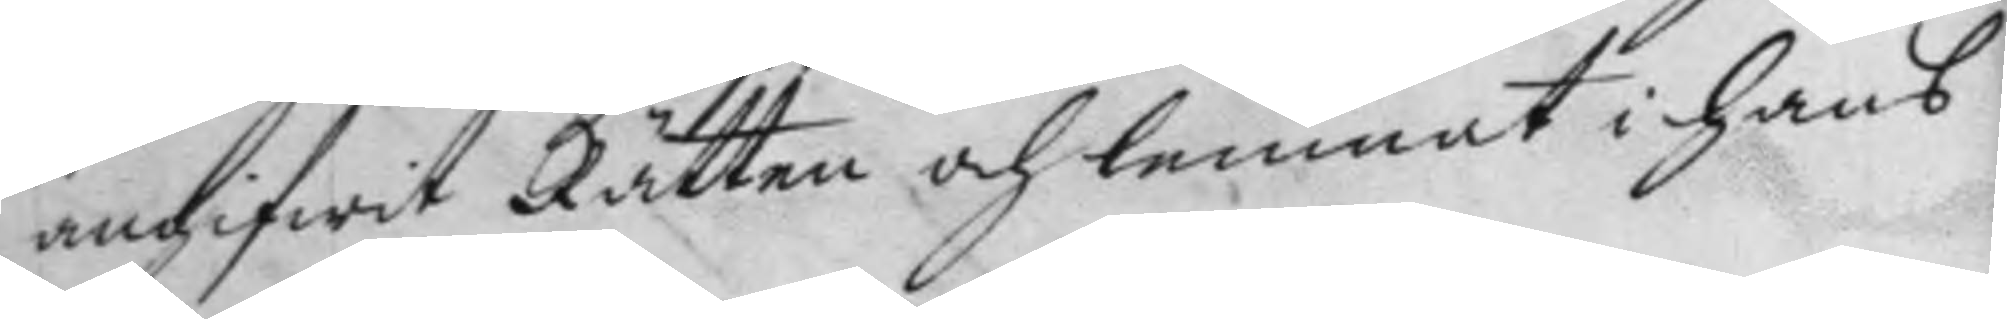angifwit Rätten och lemnat i hans
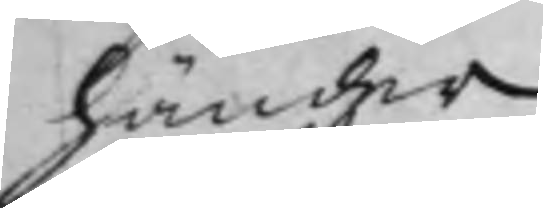händer.
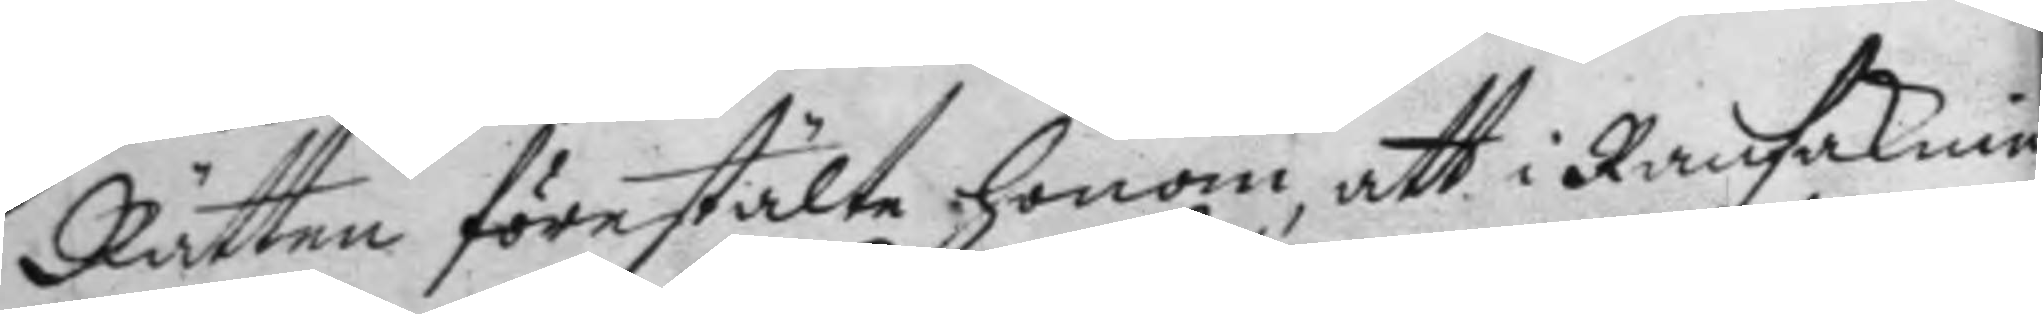Rätten förestälte honom, att i Ransaknin¬
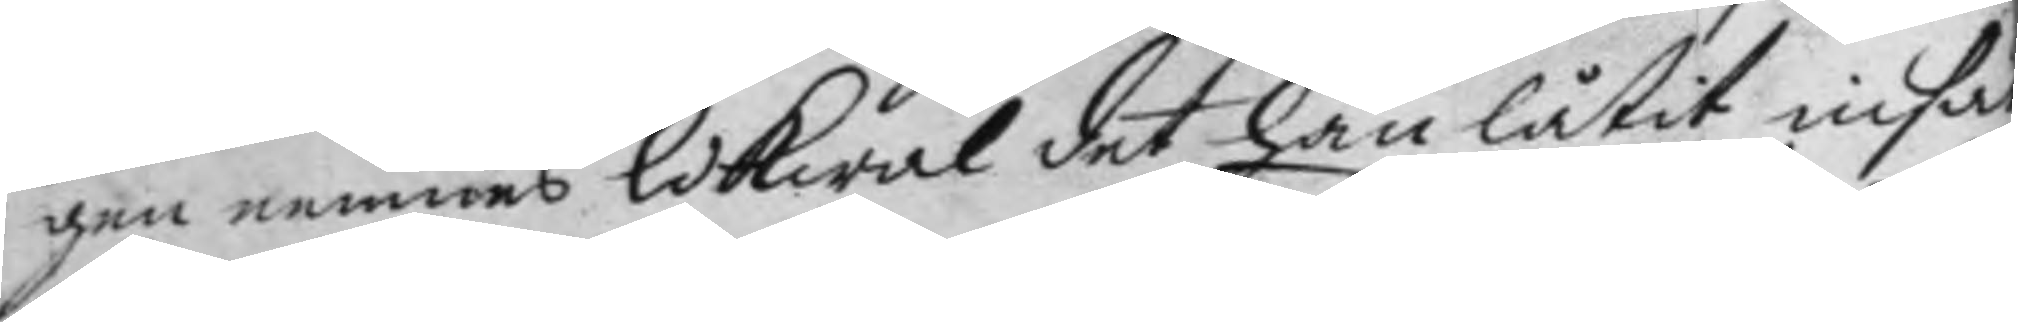gen nemnes likwäl det han låtit insät¬
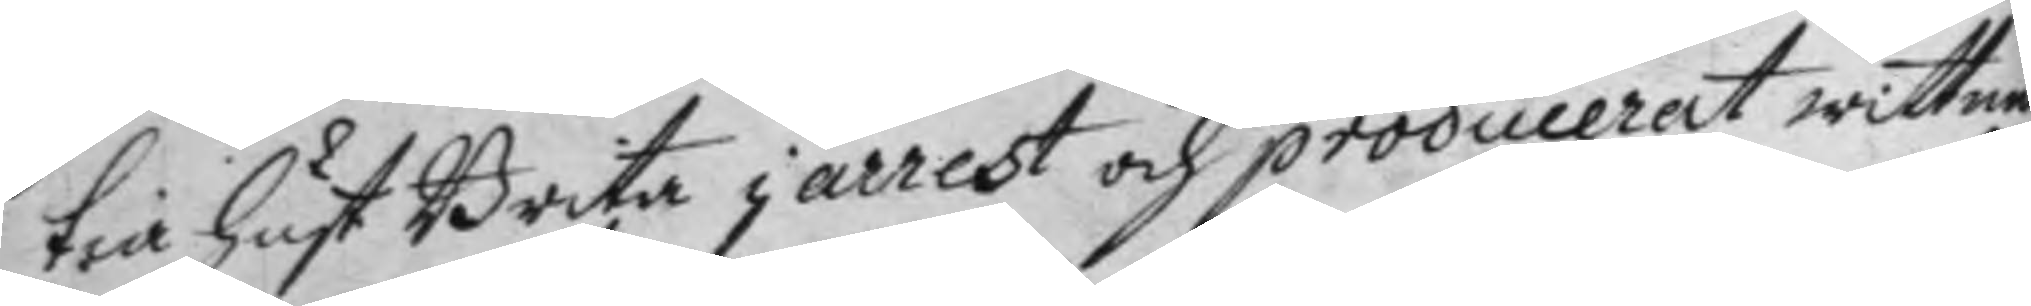tia Hust Brita i arrest och producerat wittnen
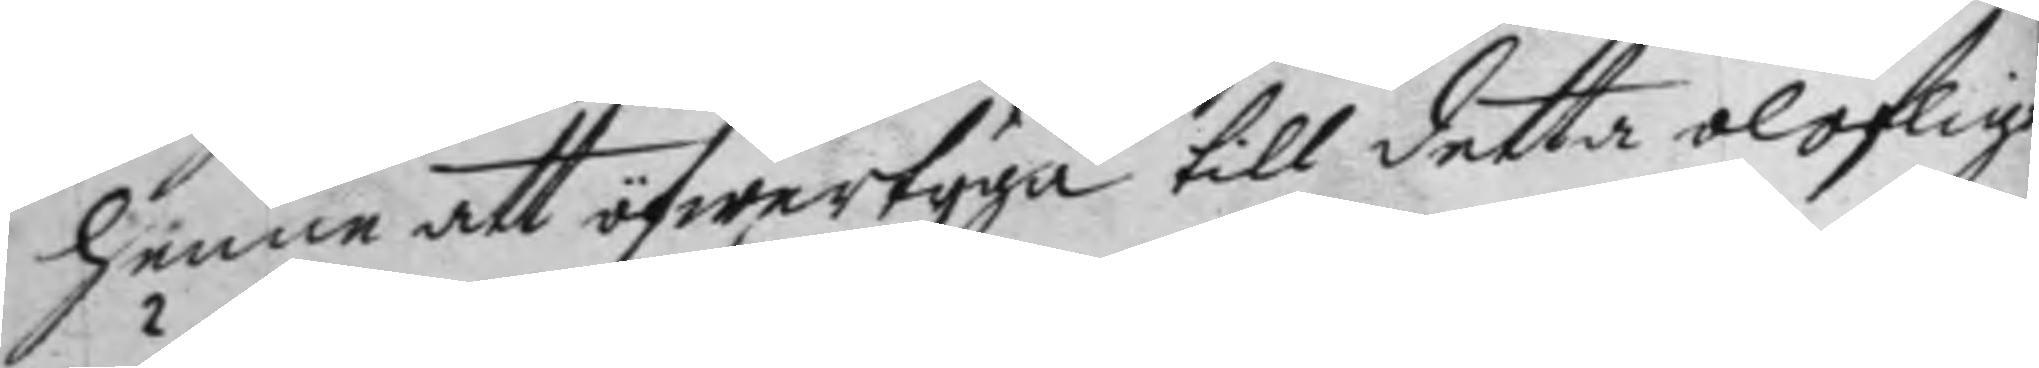henne att öfwertyga till detta oloflige
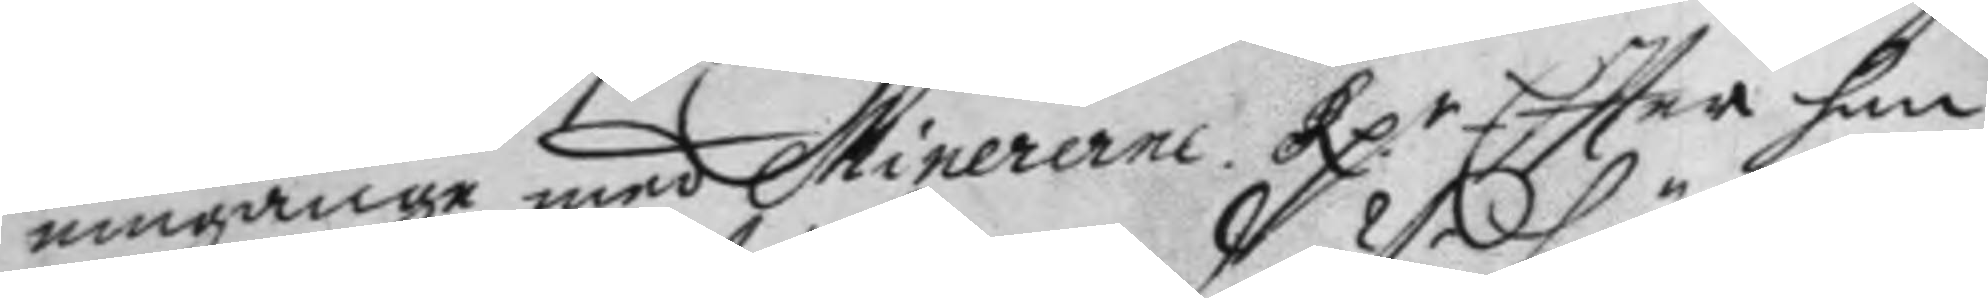umgänge med Minererne. Rp:r Eftter han 
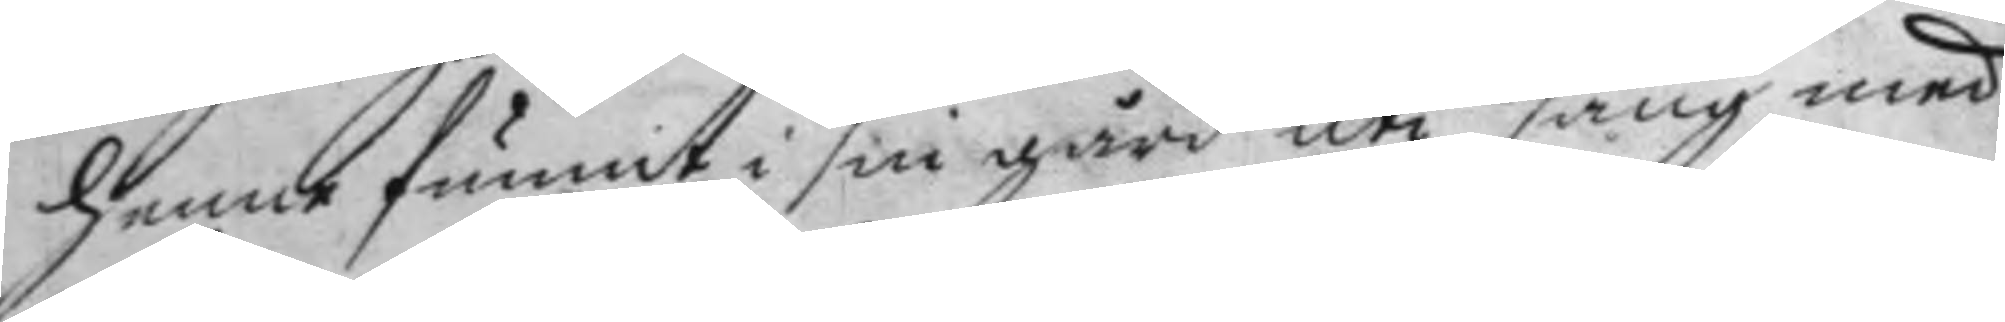henne funnit i sin gård uti säng med
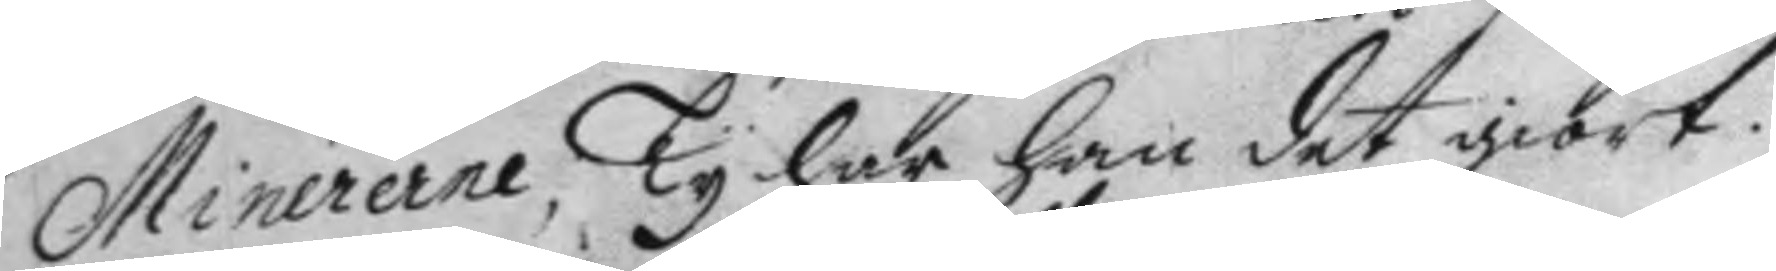Minererne, Tyhar han det giort.
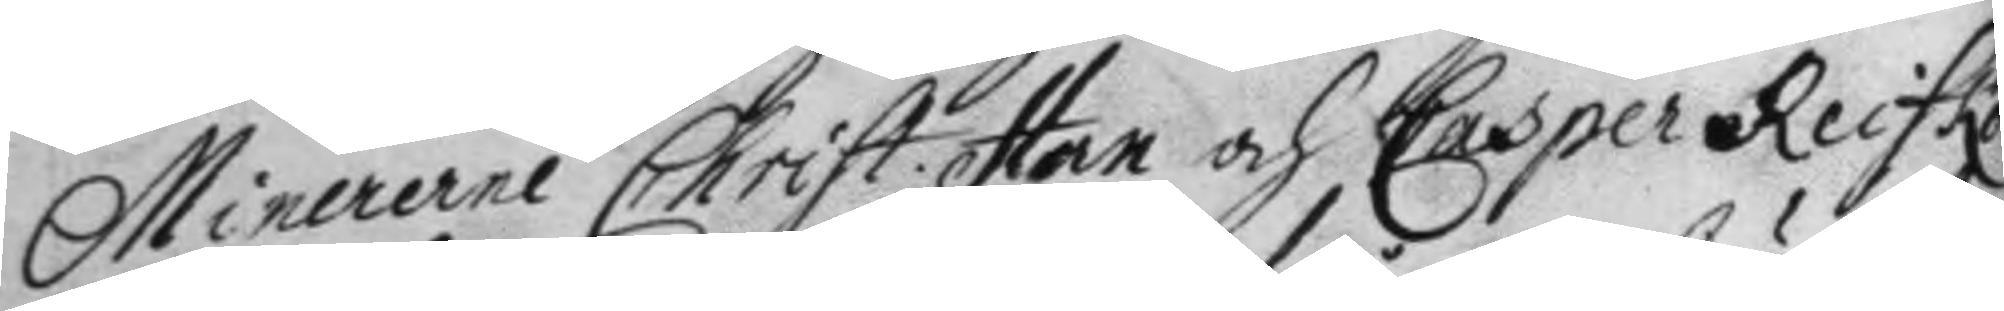Minererne Christ: Han och Casper Reifko
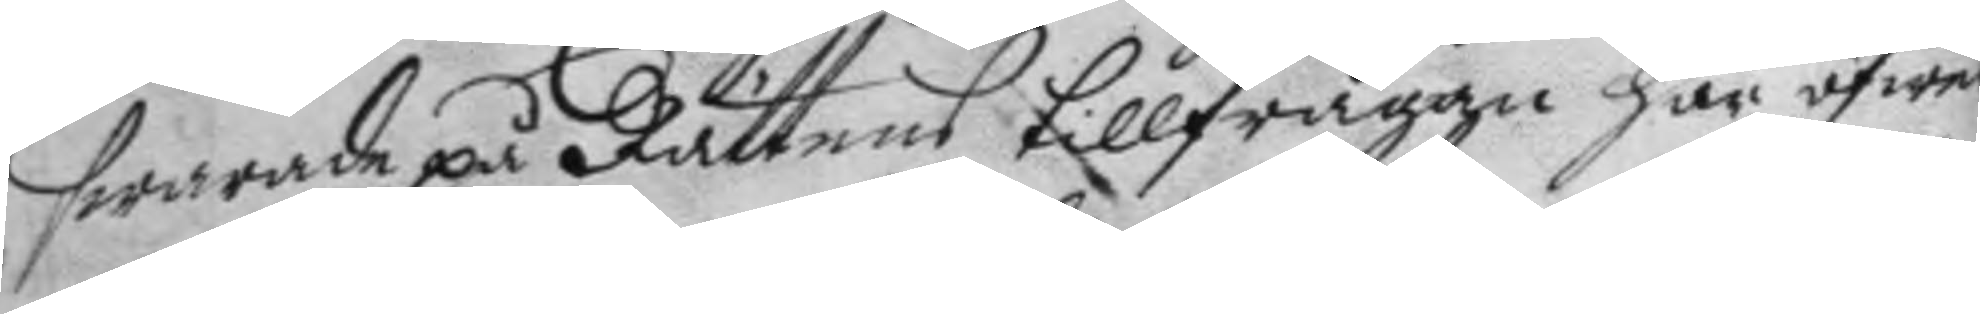swarade på Rättens tillfrågan här öfwer
